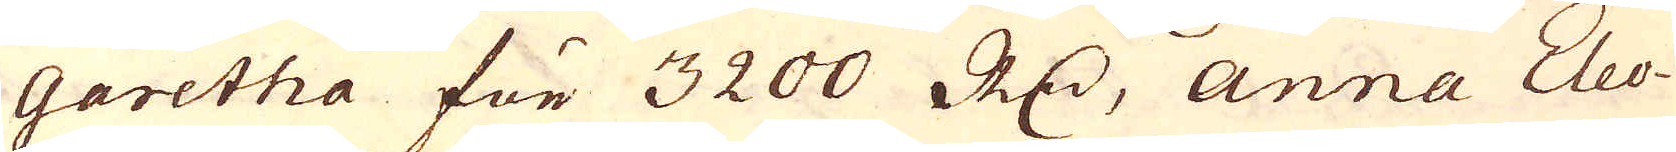garetha för 3200 R:dr, Anna Eleo-
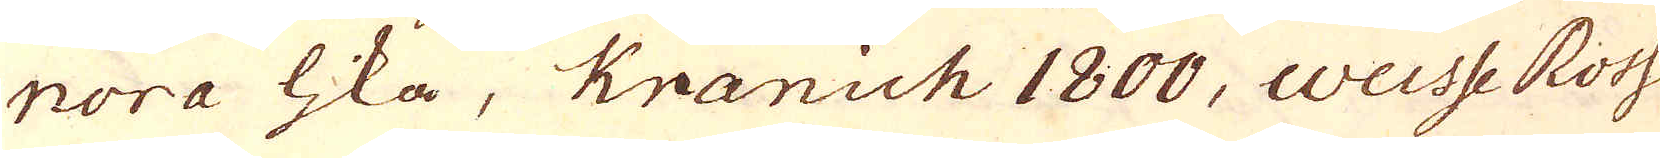nora lika, Kranich 1800, Weisse Ross
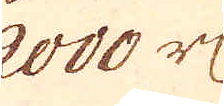2000 r:dr
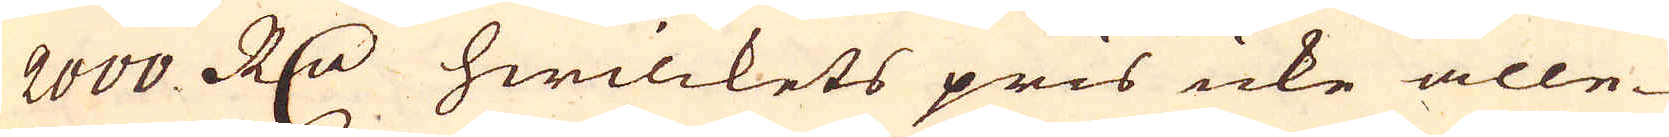2000 R:dr hwilckets pris icke alle-
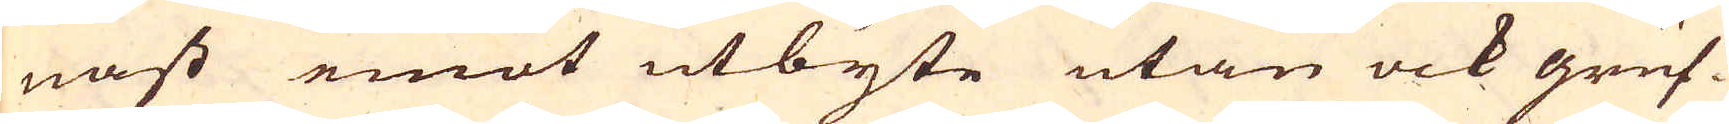nast emot utbyte utan ock gruf-
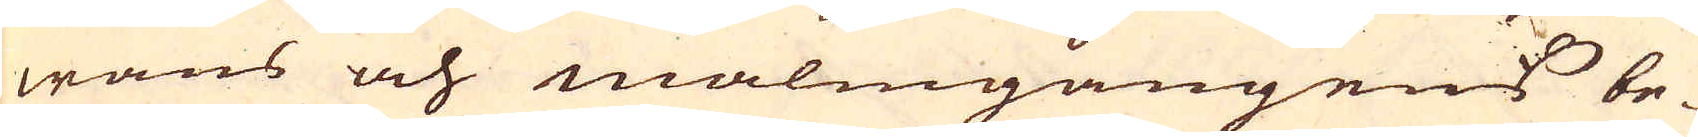wans och malmgångens be-
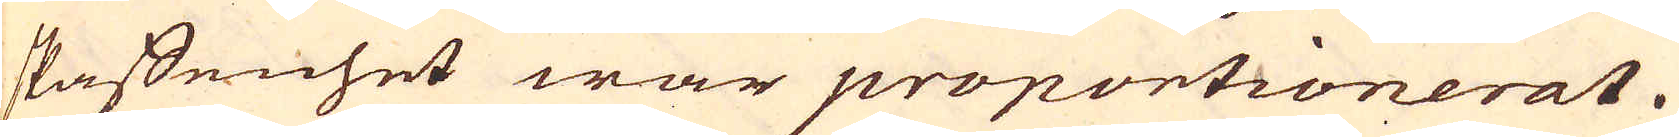skaffenhet war proportionerat.
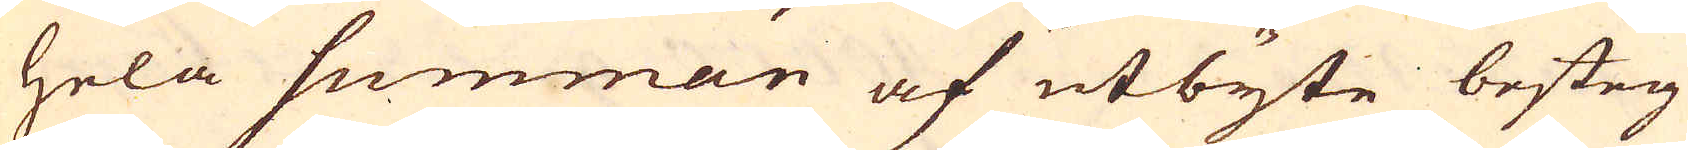Hela summan af utbyte besteg
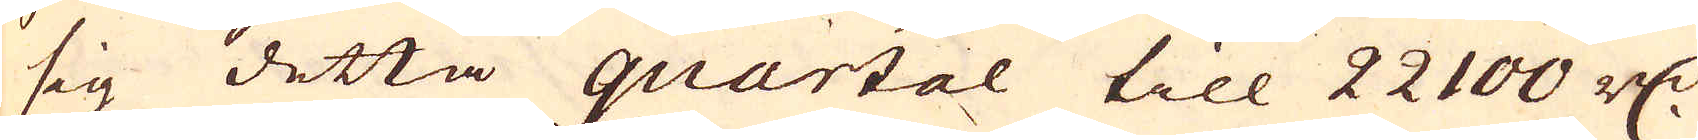sig detta quartal till 22100 r:dr
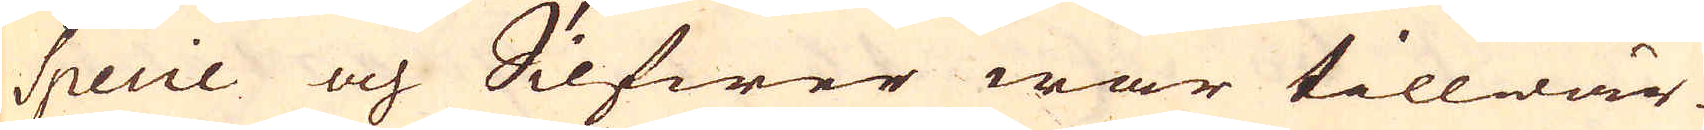Specie och Silfwer war tillwär-
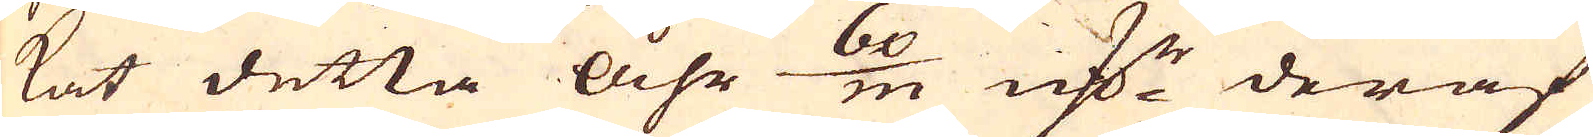kat detta åhr 60/m marker deraf
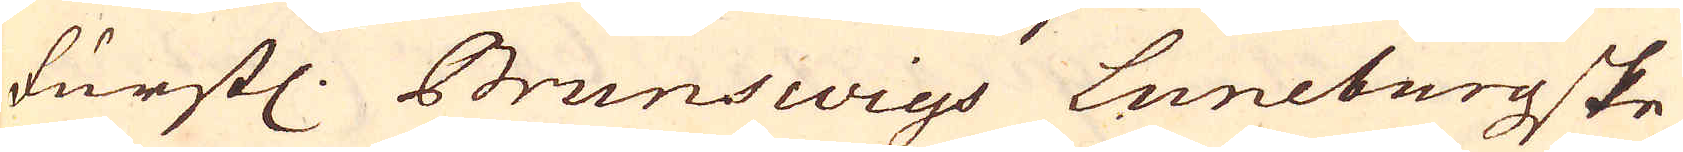furstl. Brunswigs Luneburgske
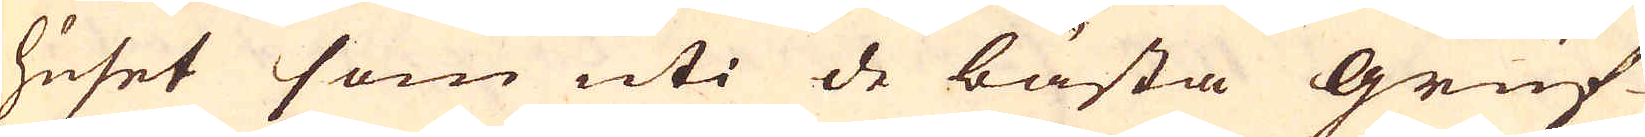huset som uti de bästa gruf-
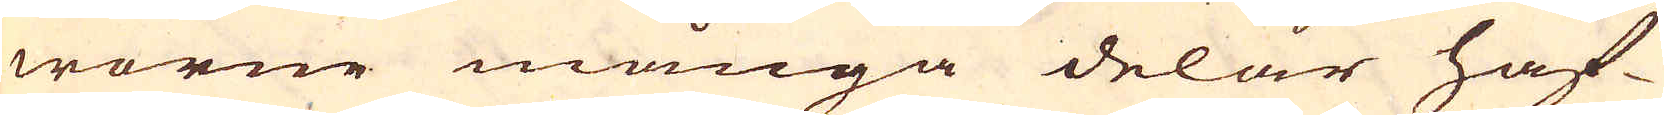worne många delar haf-
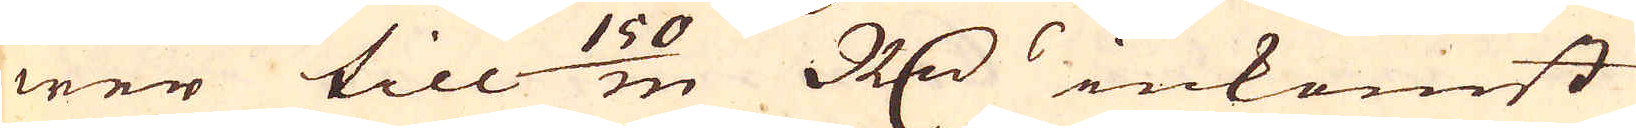wer till 150/m R:drs inkomst
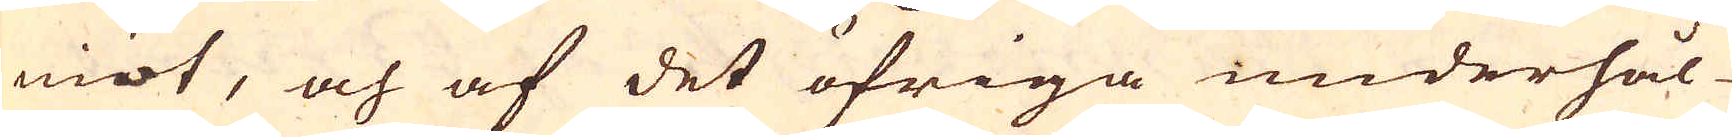niöt, och af det öfriga underhål-
